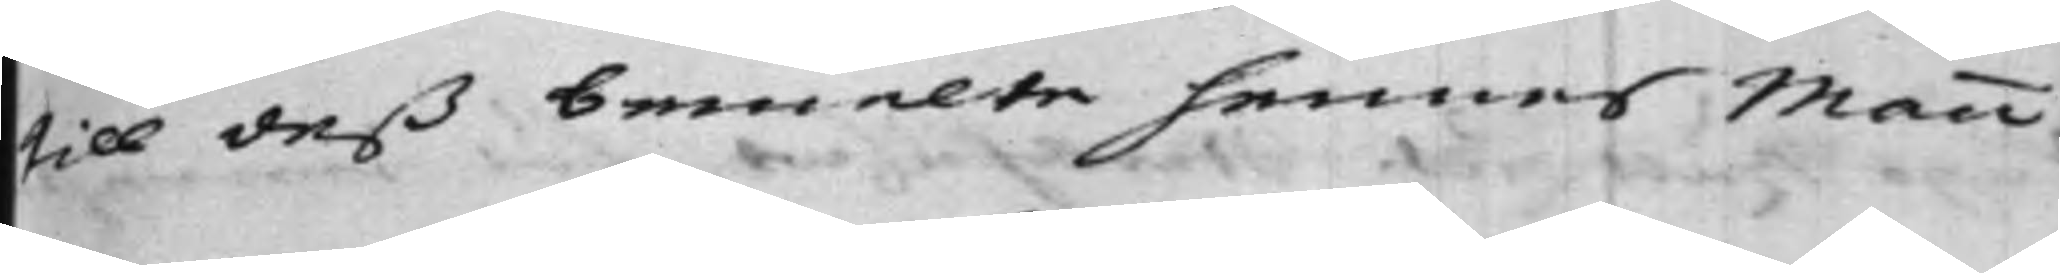till deß bemelte hennes Mann.
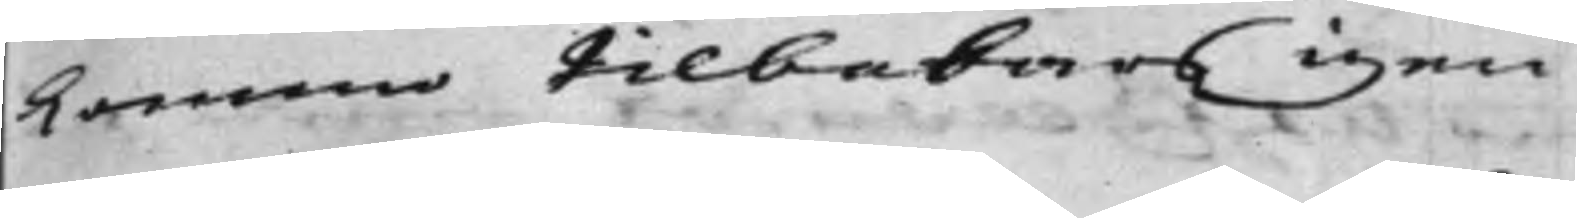kommo tilbakars igen.
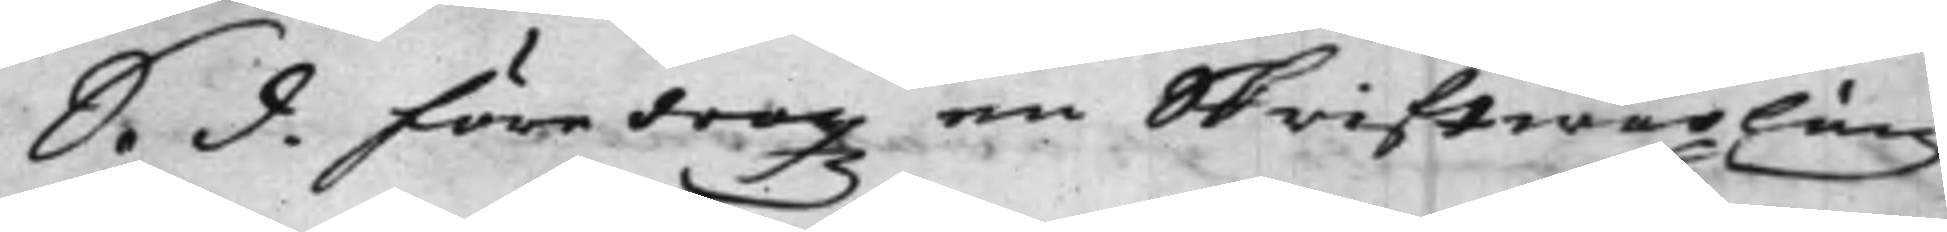S. d. föredrogz en Skriftwäxling
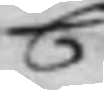C
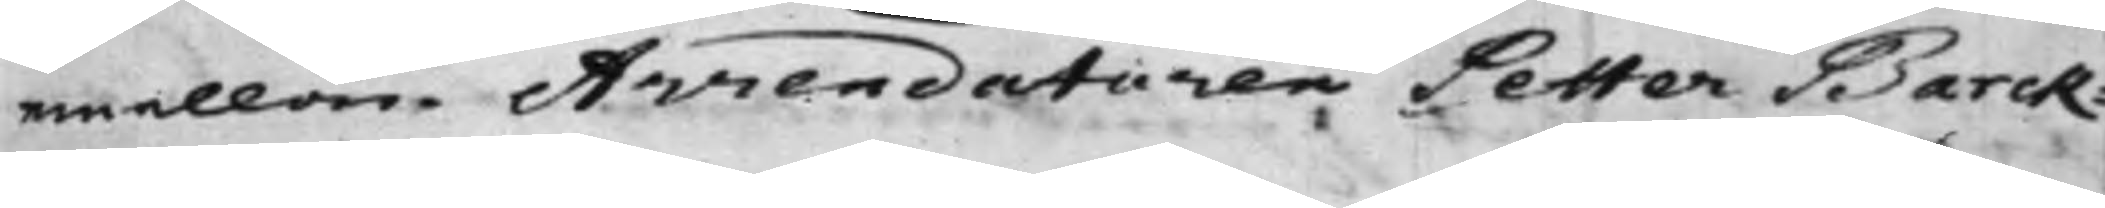mellan Arrendatoren Petter Barck¬
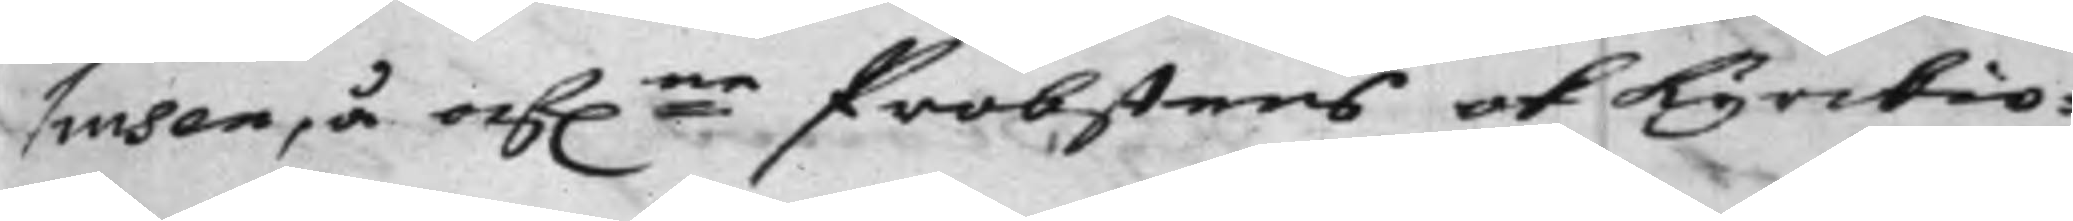husen, å af:ne Probstens och Kyrckio¬
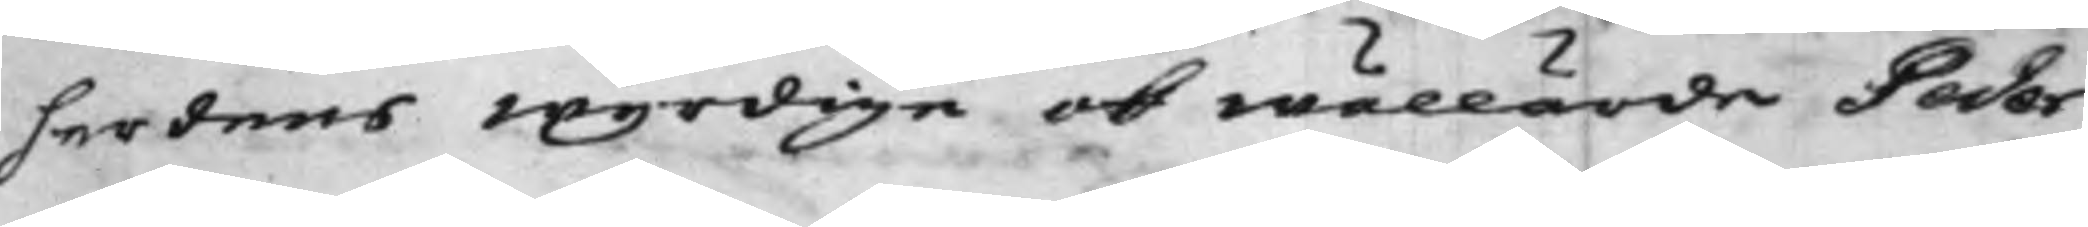herdens wyrdige ok wällärde Peder
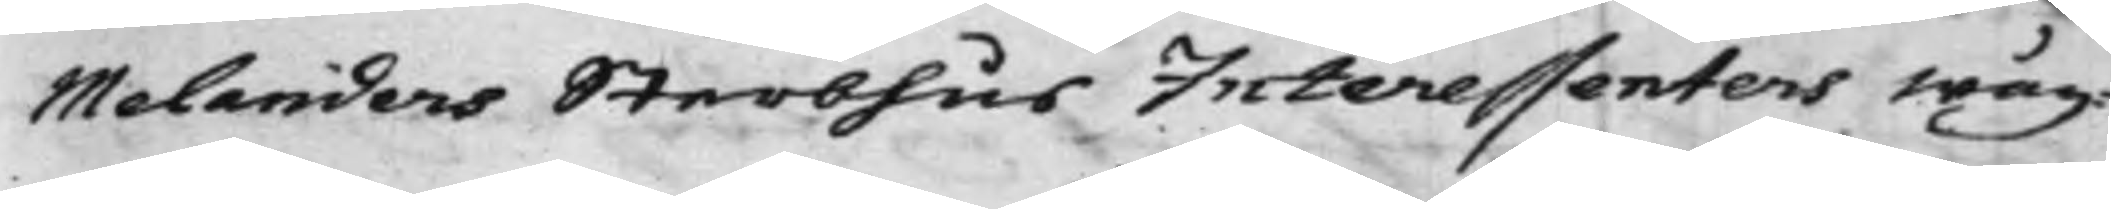Melanders Sterbhus Interessenters wäg¬
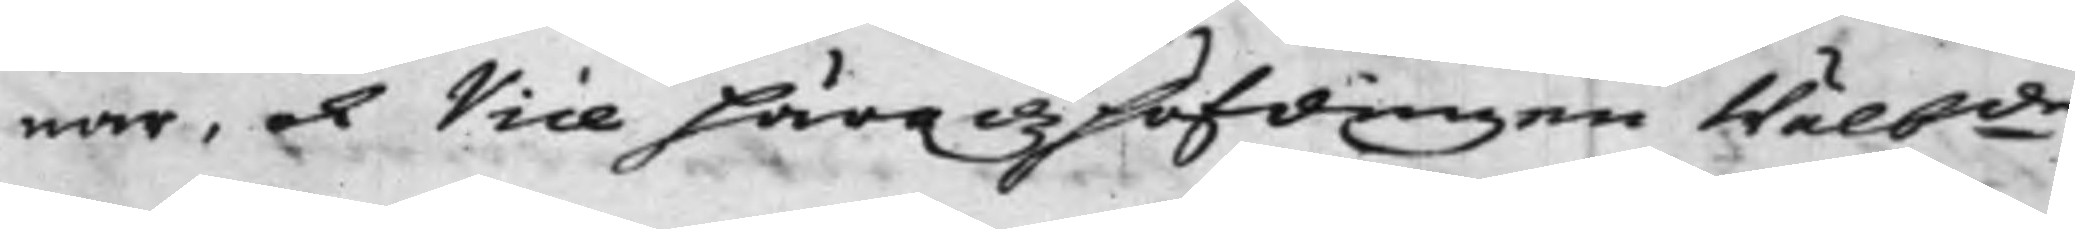nar, och Vice Häradzhöfdingen Wälb:de
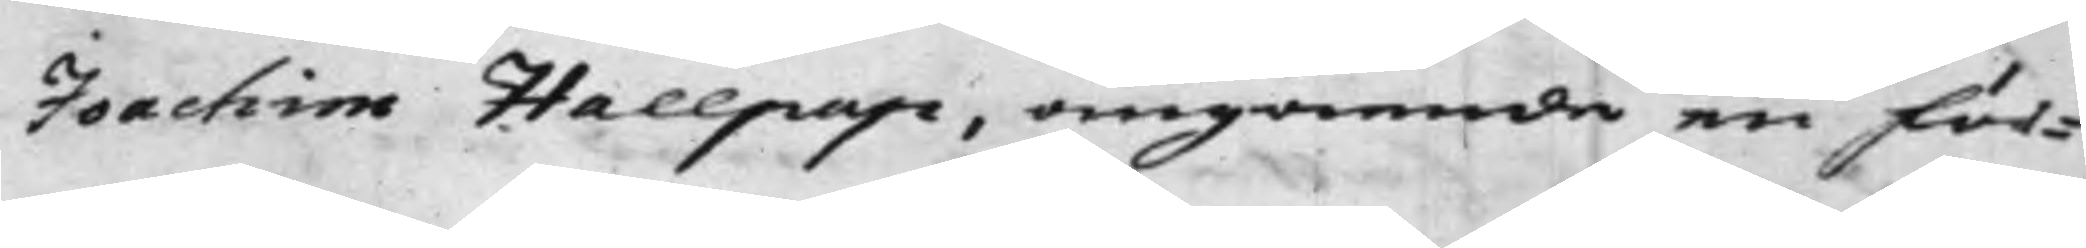Joachim Hallpap, angående en för¬
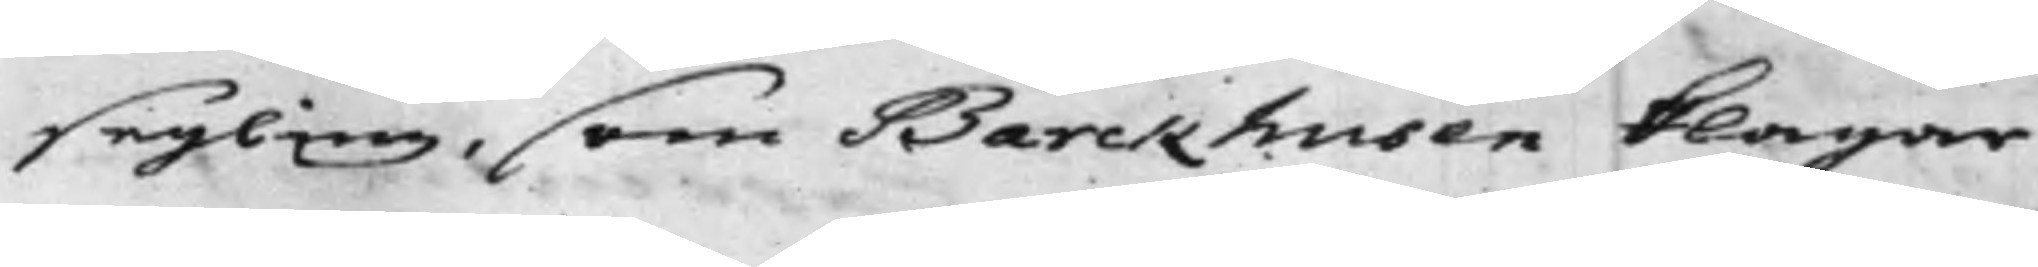segling, som Barckhusen klagar
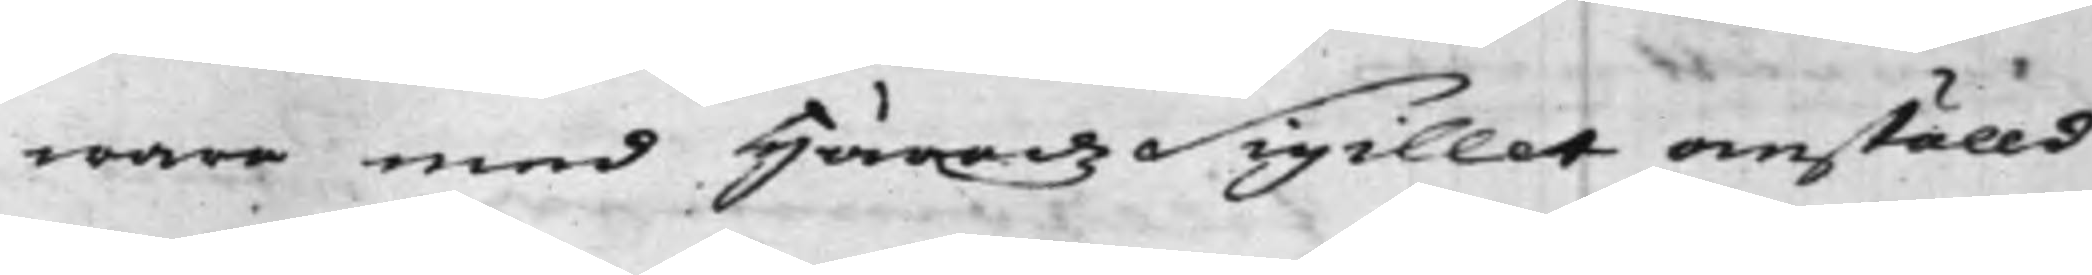wara med HäradzSigillet anställd
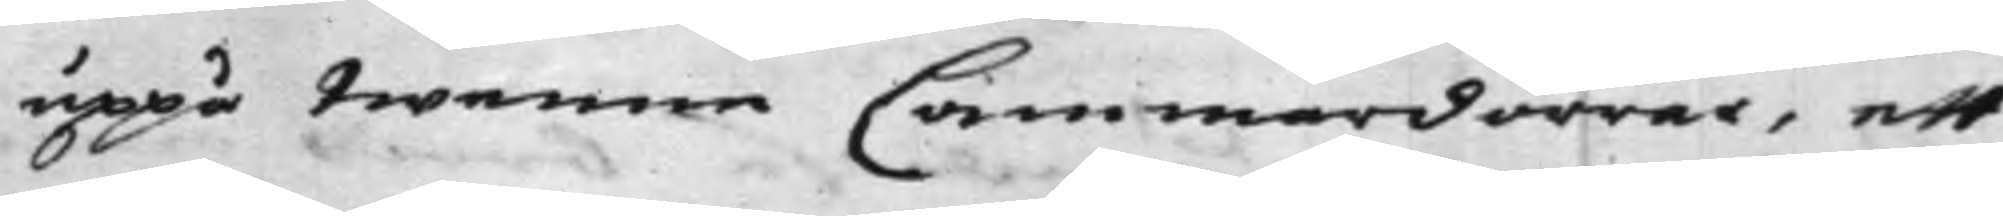uppå twenne Cammardörrar, ett
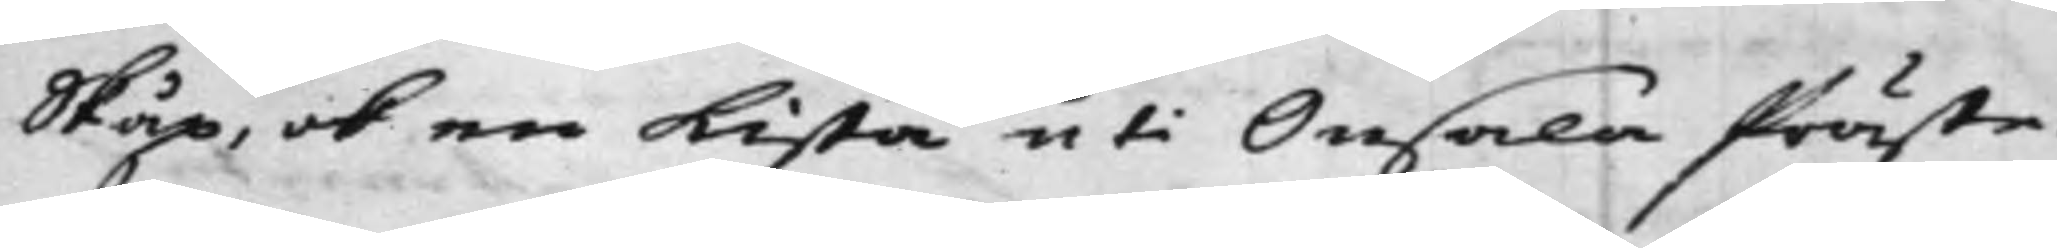Skåp, och en Kista uti Onsala Präste¬
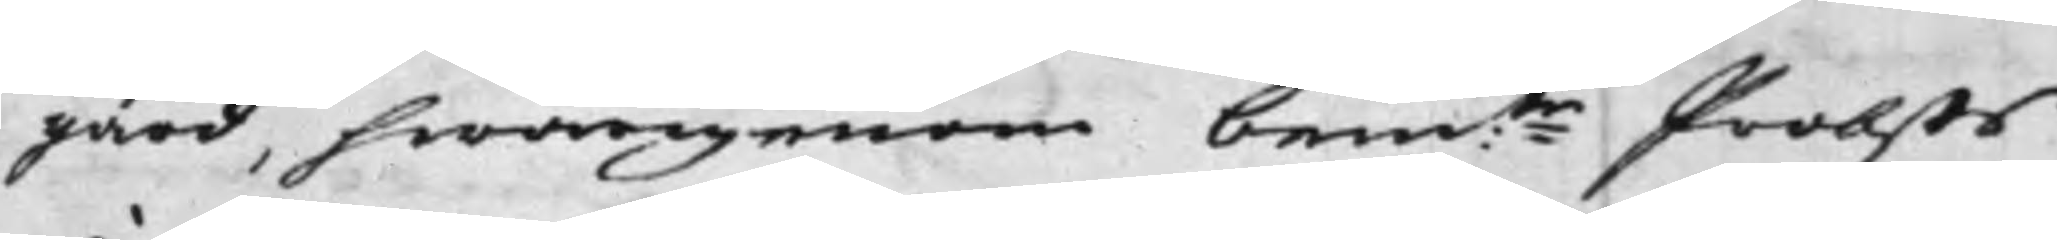gård, hwarigenom bem:te Probsts
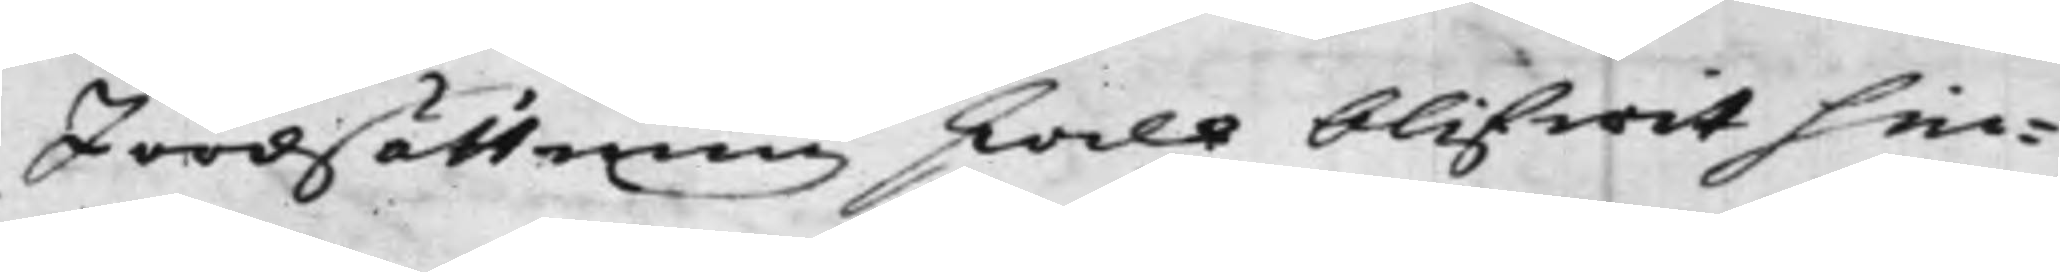Jordsättning skall blifwit hin¬
